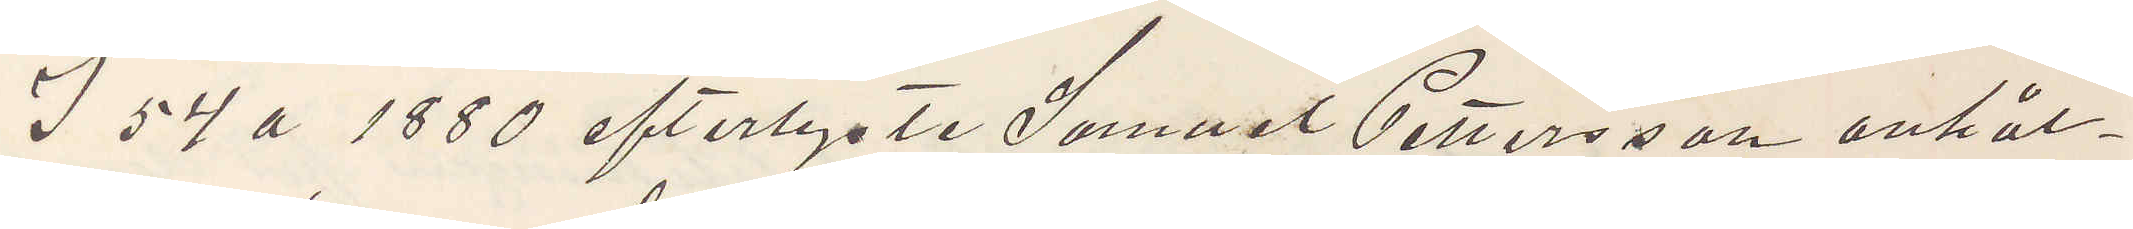I 54 a 1880 efterlyste Samuel Pettersson anhål¬
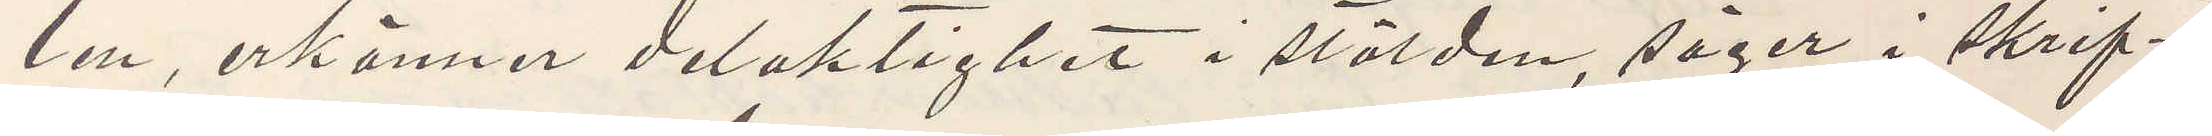len, erkänner delaktighet i stölden, säger i skrif¬
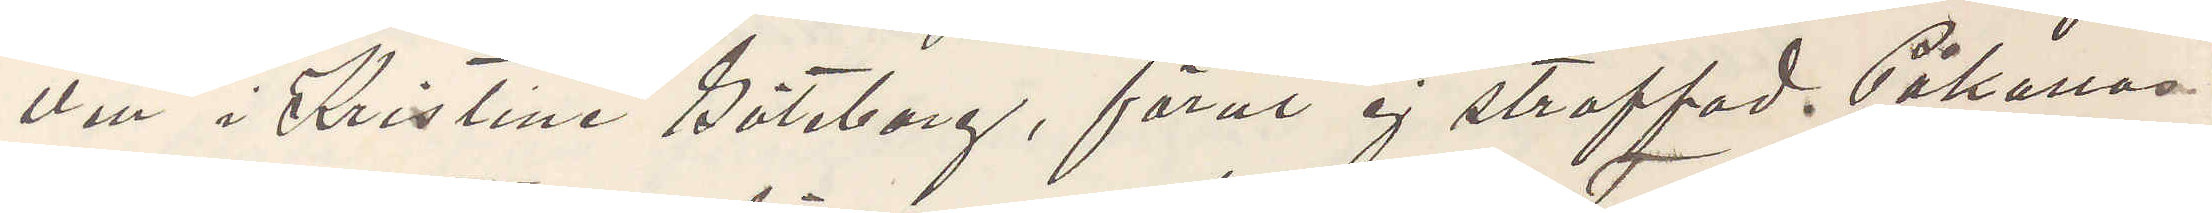ven i Kristine Göteborg, förut ej straffad. Påkallas
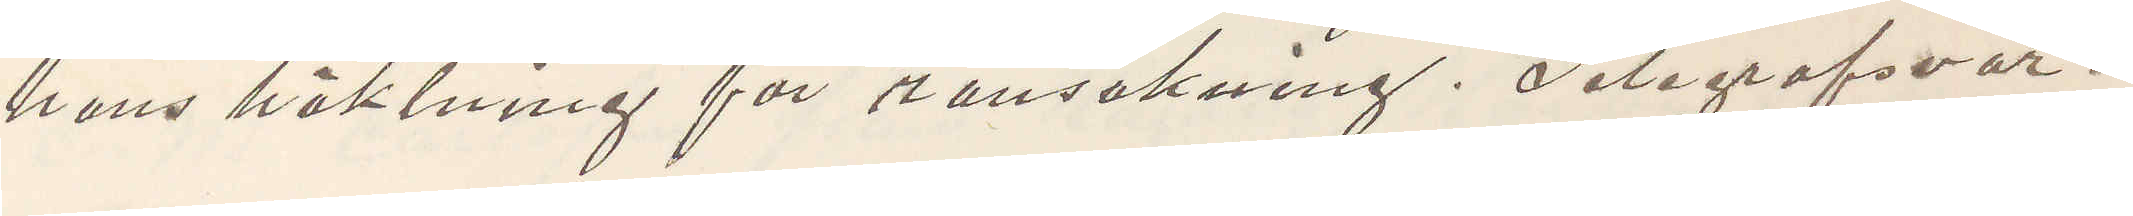hans häktning för ransakning. Telegrafsvar.
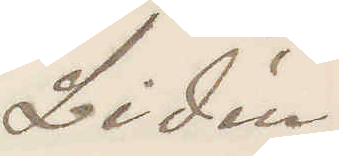Lidén.
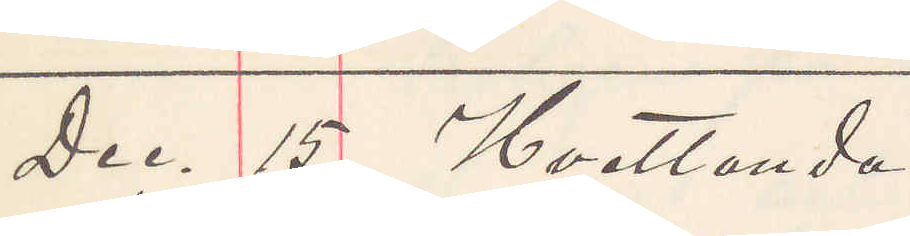Dec 15. Hvetlanda
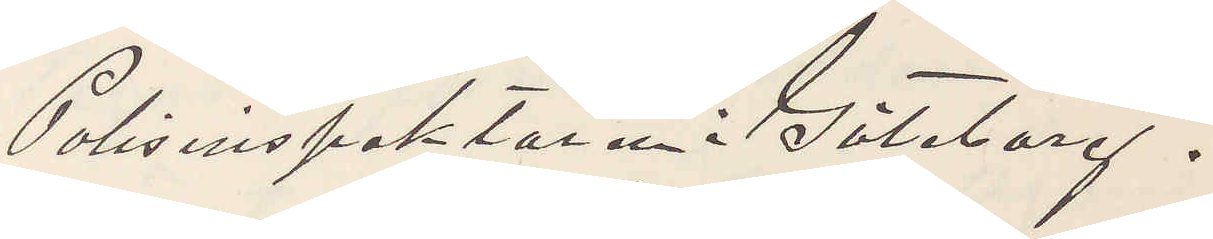Polisinspektören i Göteborg.
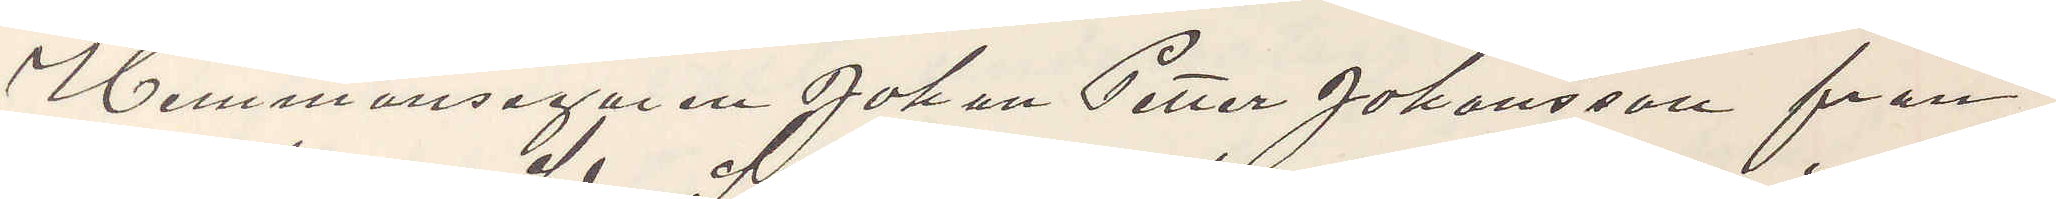Hemmansegaren Johan Petter Johansson från
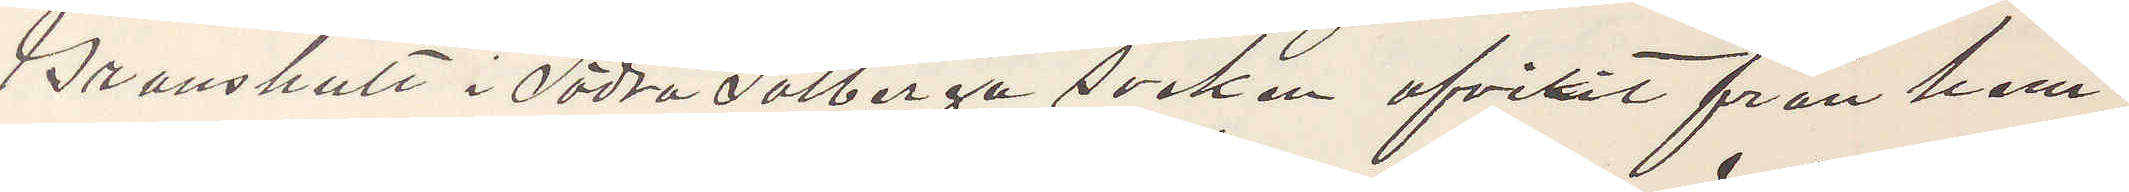Granshult i Södra Solberga socken afvikit från hem¬
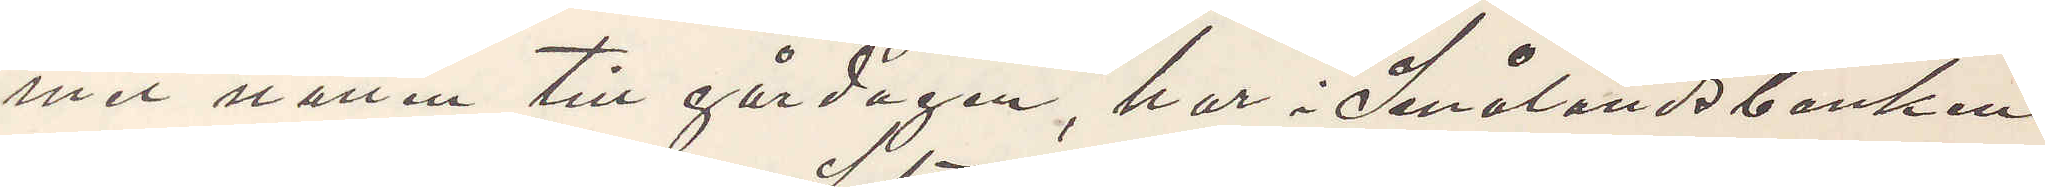met natten till gårdagen, har i Smålandsbanken
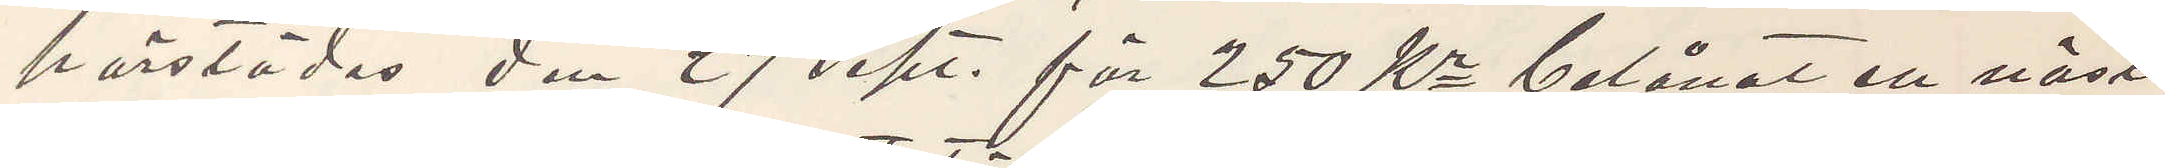härstädes den 27 sept. för 250 Kr belånat en näst
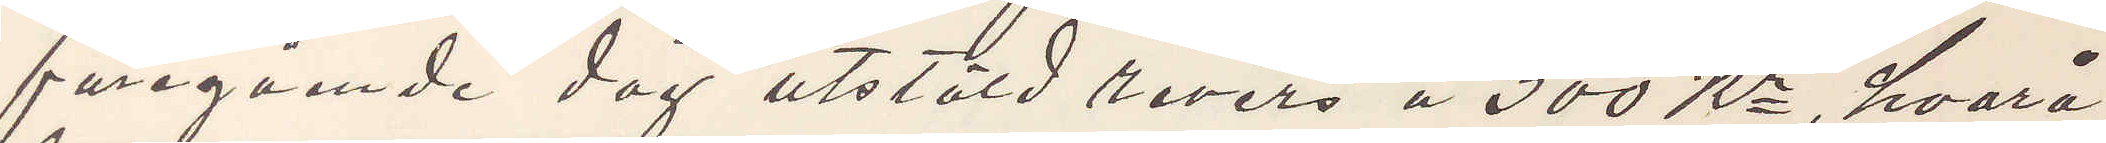föregående dag utstäld revers å 300 Kr, hvarå
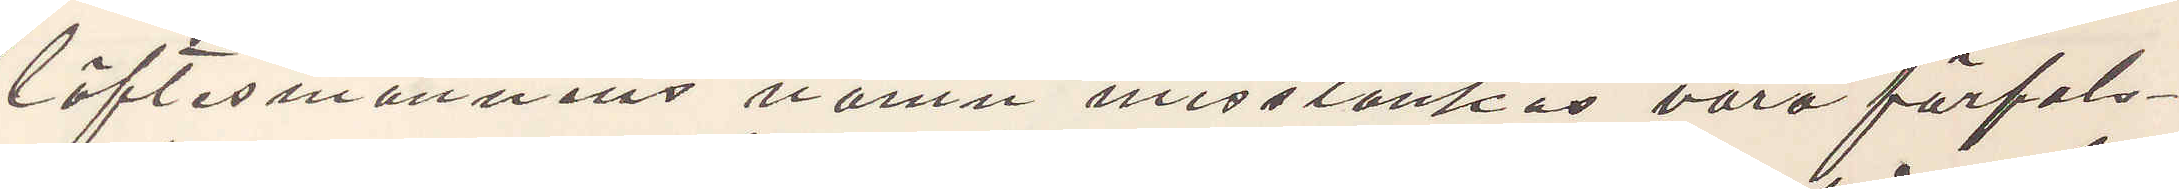löftesmännens namn misstänkas varo förfals¬
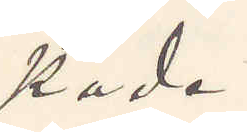kade.
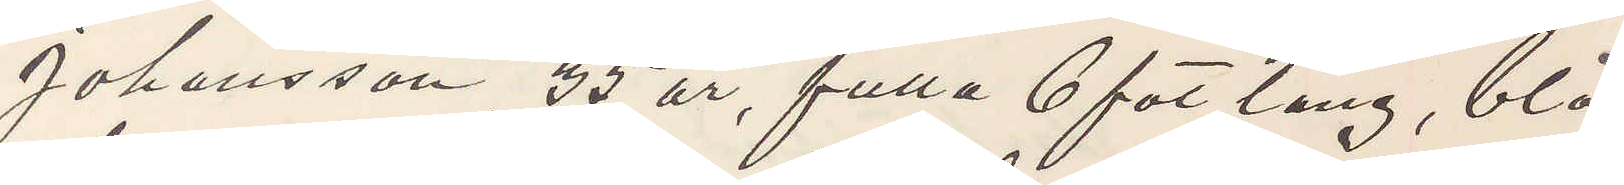Johansson 35 år, fulla 6 fot lång, blå
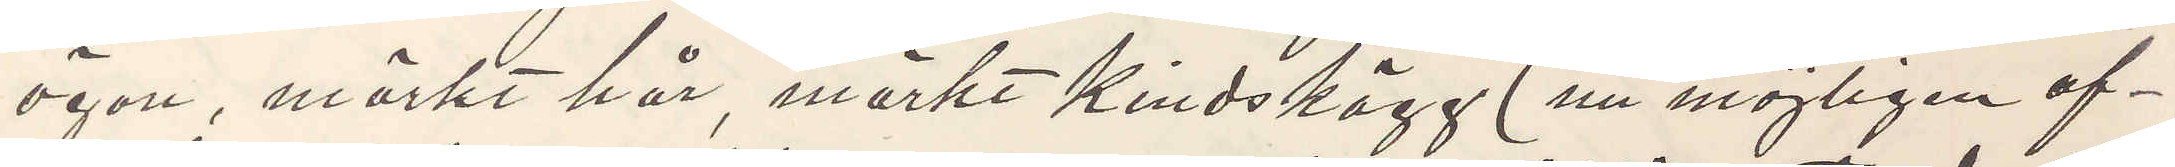ögon, mörkt hår, mörkt kindskägg (nu möjligen af¬
